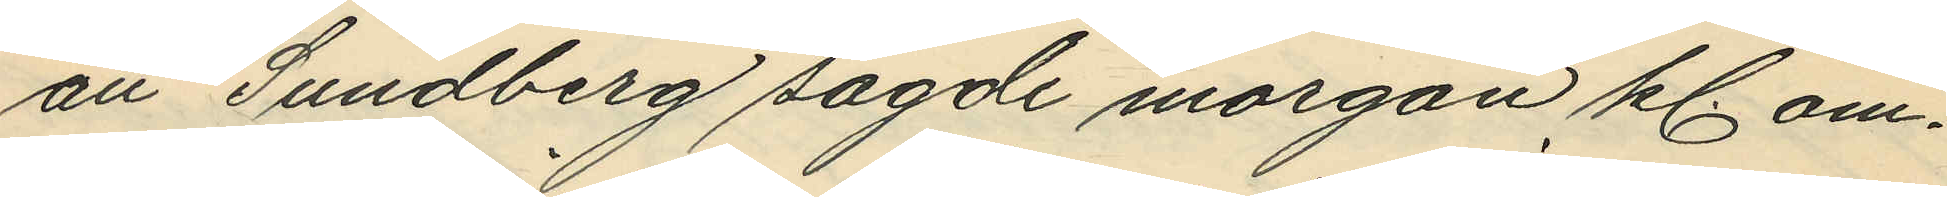att Sundberg sagde morgon kl. om¬
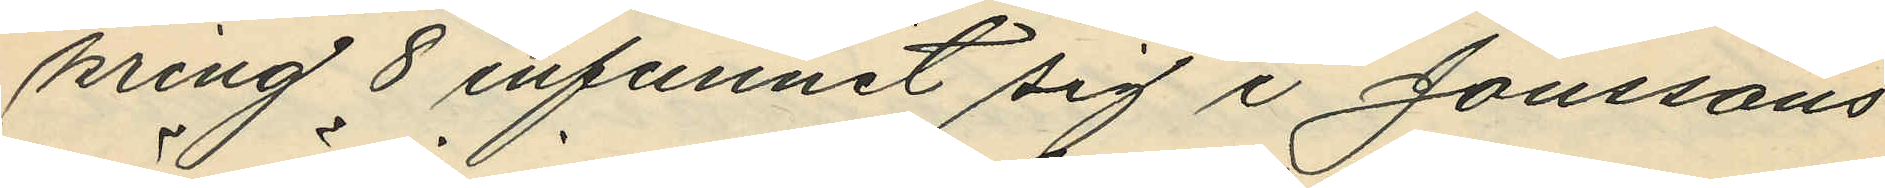kring 8 infunnit sig i Jonssons
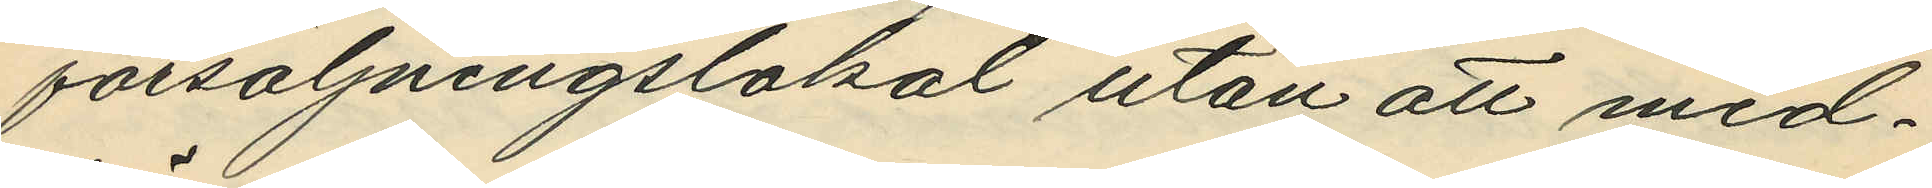försäljningslokal utan att med¬
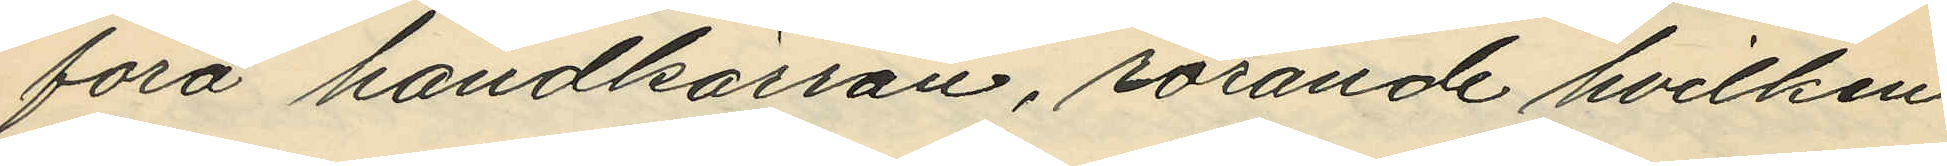föra handkärran, rörande hvilken
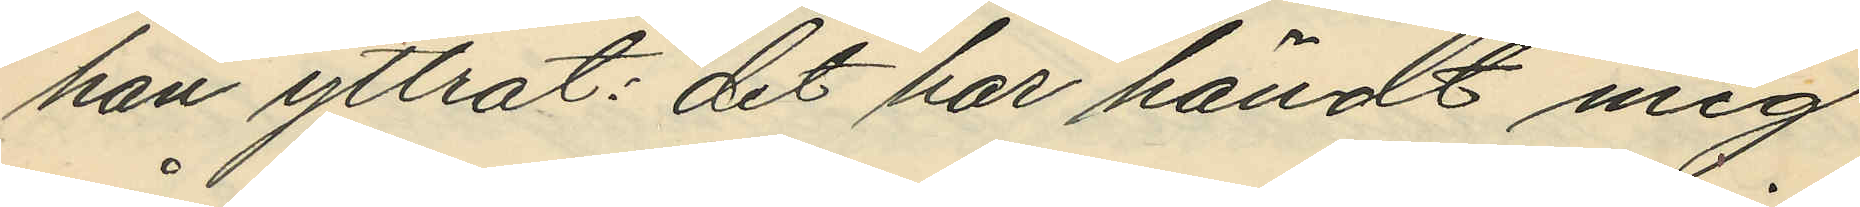han yttrat: "det har händt mig
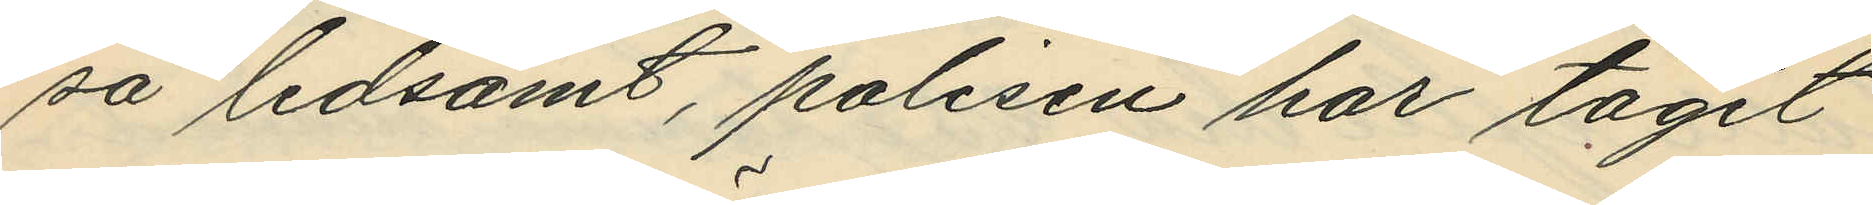så ledsamt, polisen har tagit
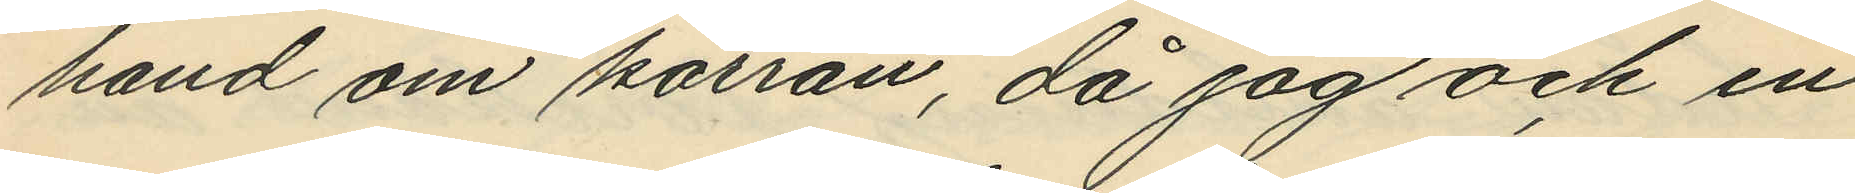hand om kärran, då jag och en
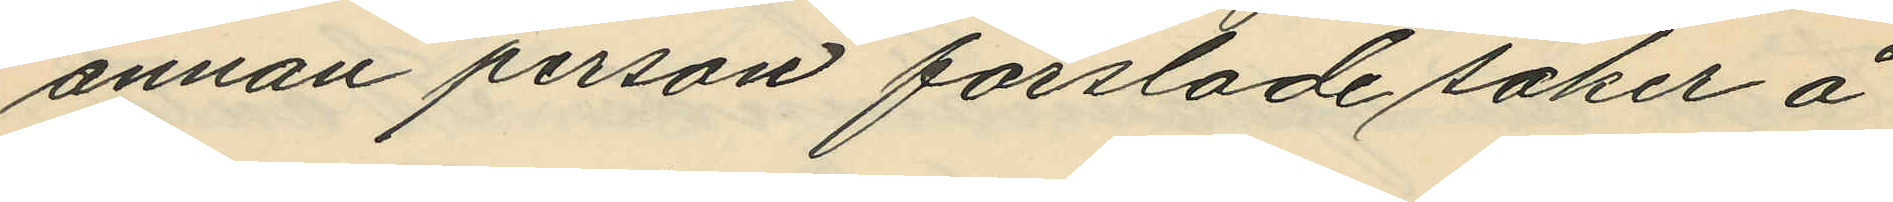annan person forslade saker å
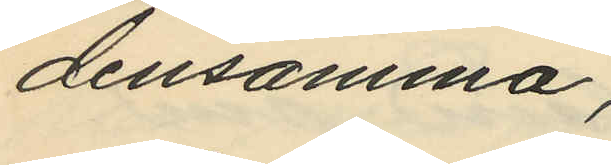densamma;"
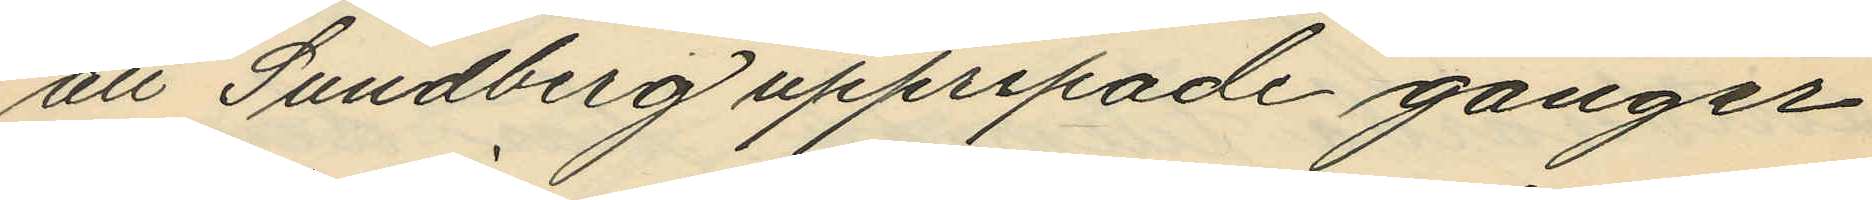att Sundberg upprepade gånger
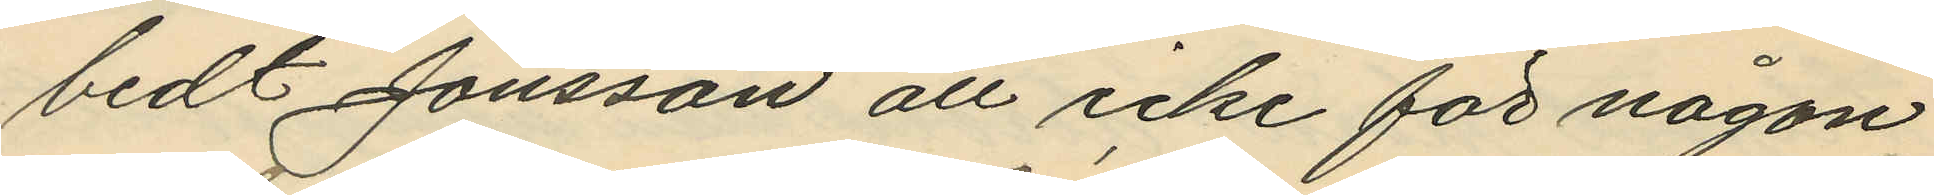bedt Jonsson att icke för någon
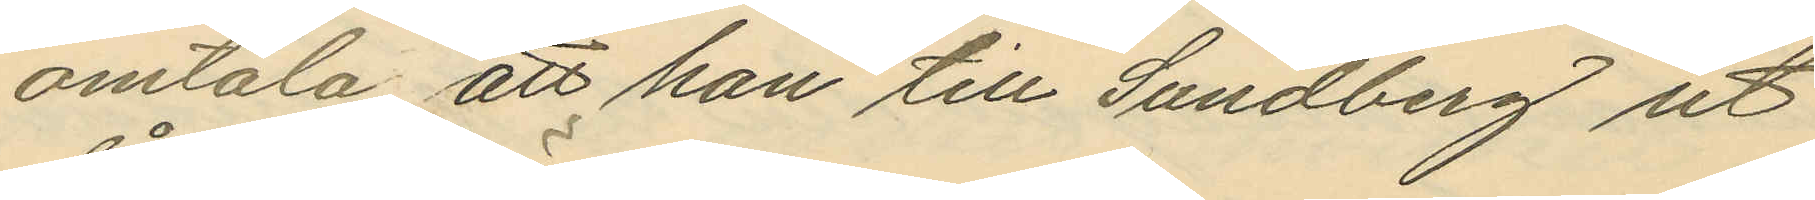omtala att han till Sundberg ut¬
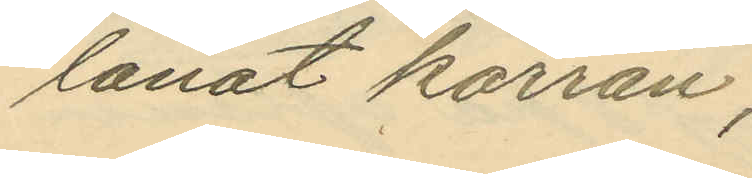lånat kärran;
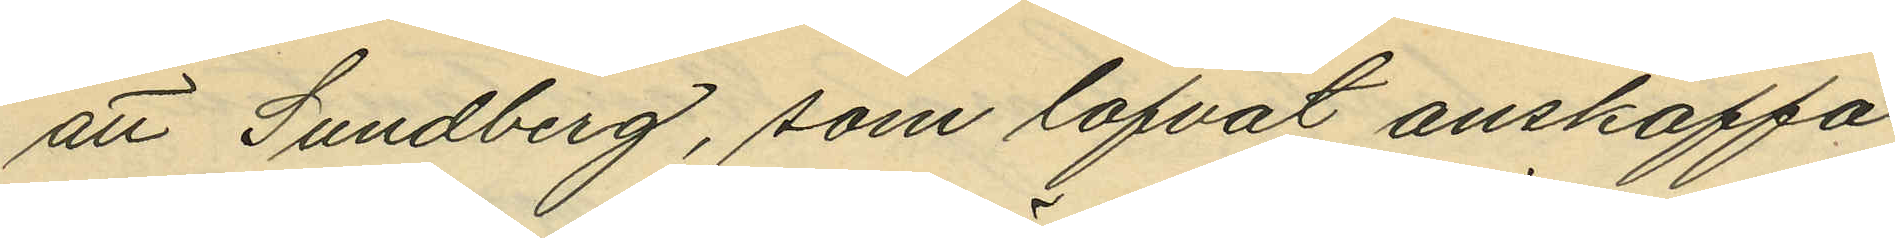att Sundberg, som lofvat anskaffa
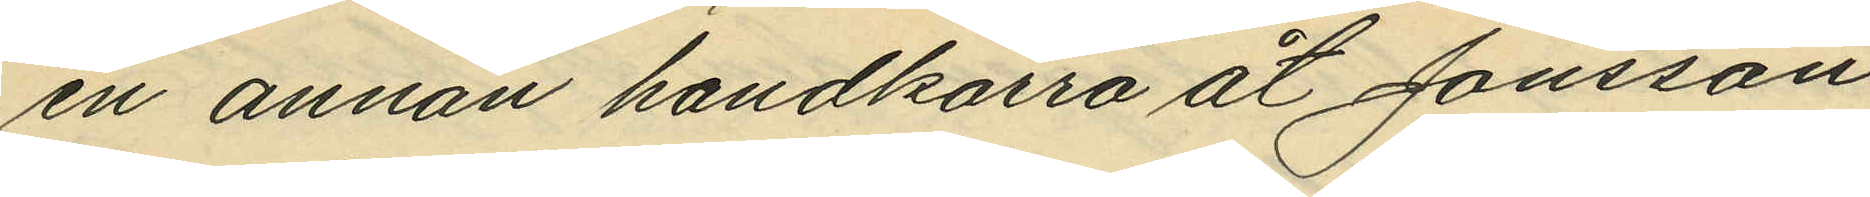en annan handkärra åt Jonsson
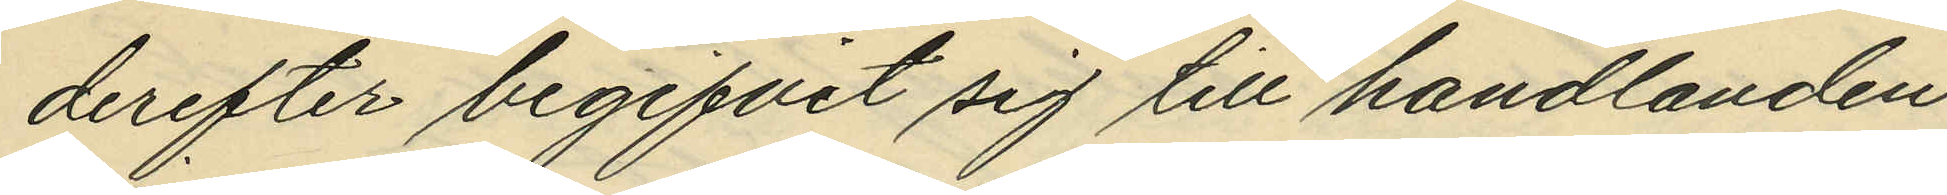derefter begifvit sig till handlanden
